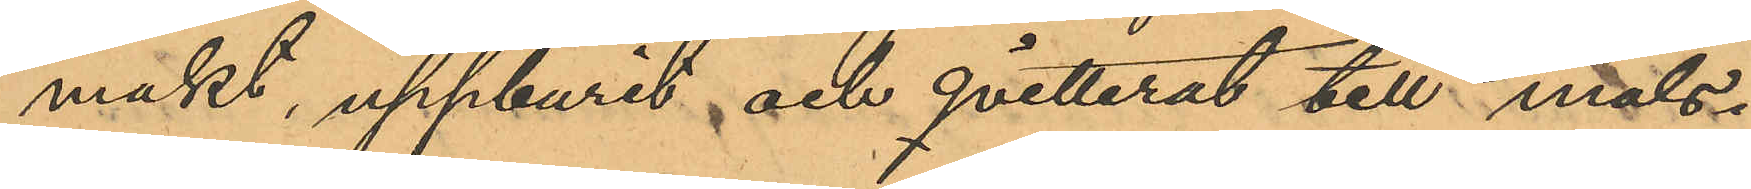makt, uppburit och qvitterat till måls¬
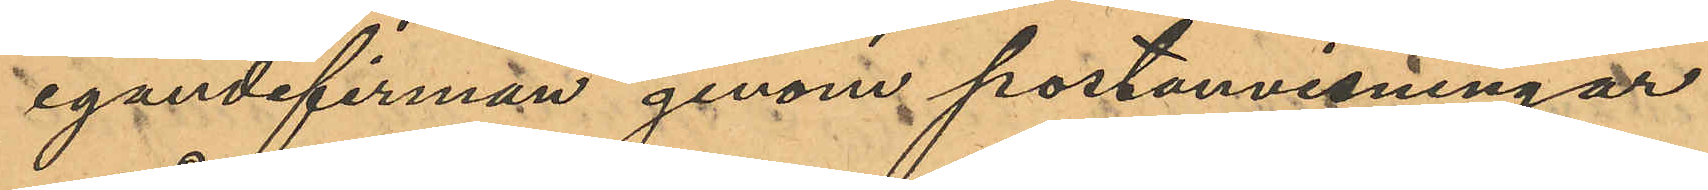egandefirman genom postanvisningar
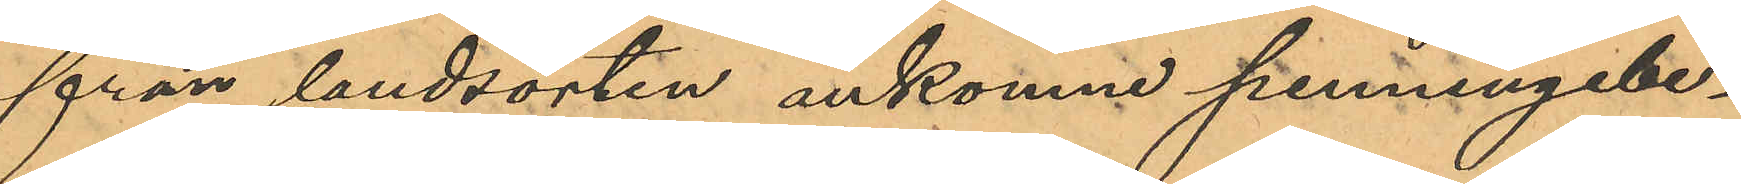från landsorten ankomne penningebe¬
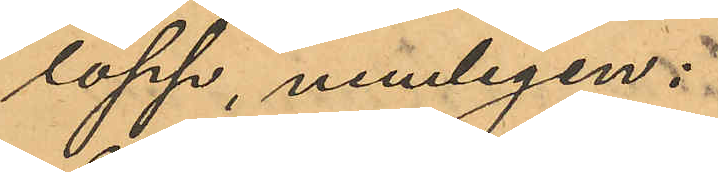lopp, nemligen:
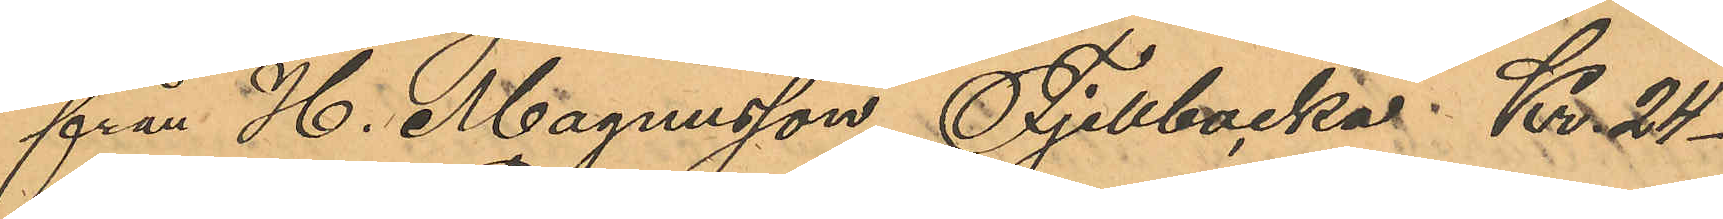från H. Magnusson Fjellbacka Kr. 24
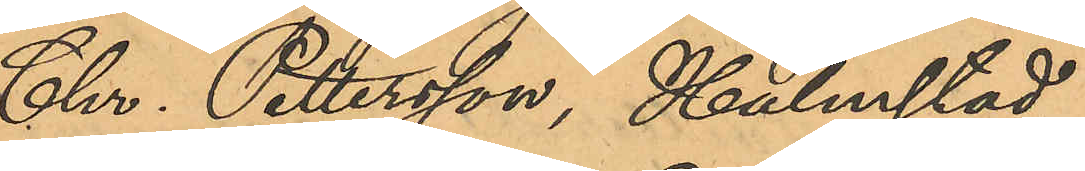Chr. Pettersson, Halmstad
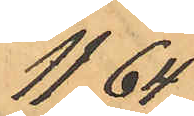11,64
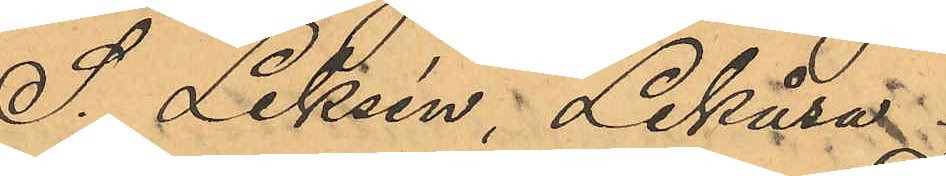S. Leksén; Lekåsa
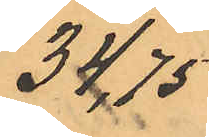34,75
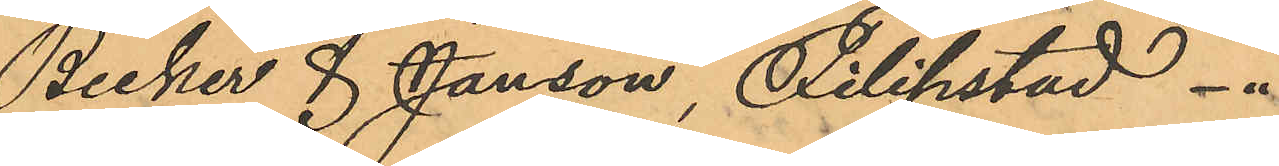Becker & Janson, Filipstad
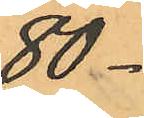80
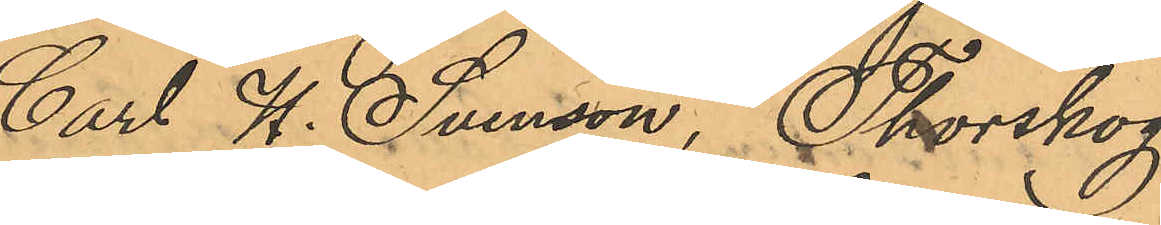Carl W. Svenson, Thorskog
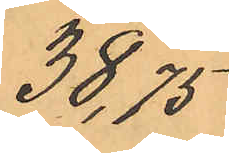38,75
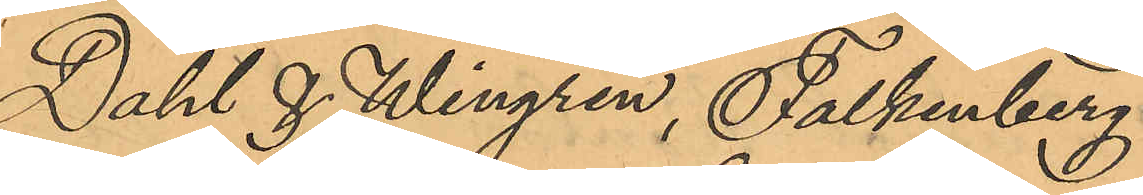Dahl & Wingren, Falkenberg
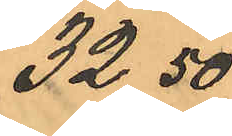32,50
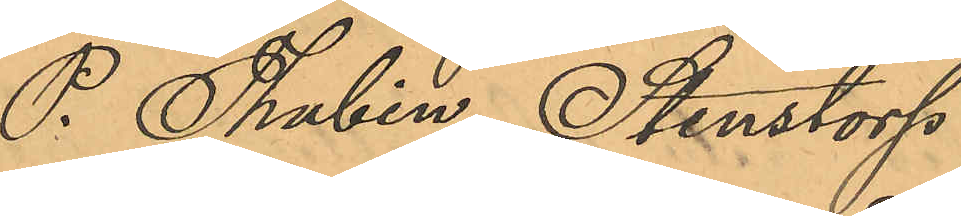P. Thubin, Stenstorp
